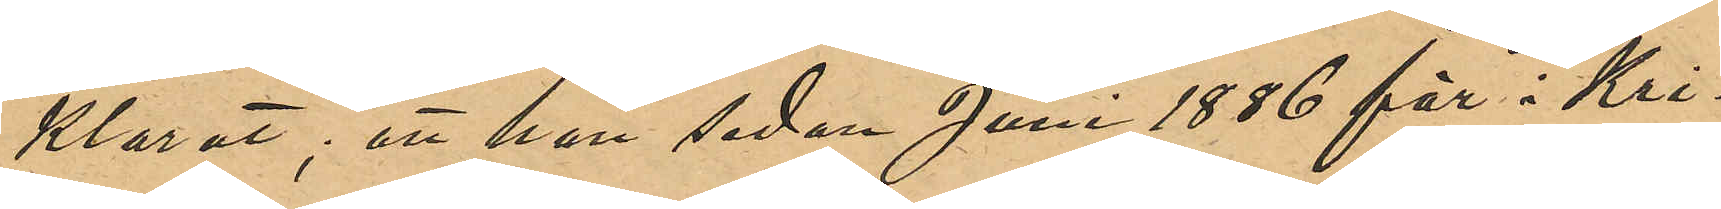klarat; att han sedan Juni 1886 för i Kri¬
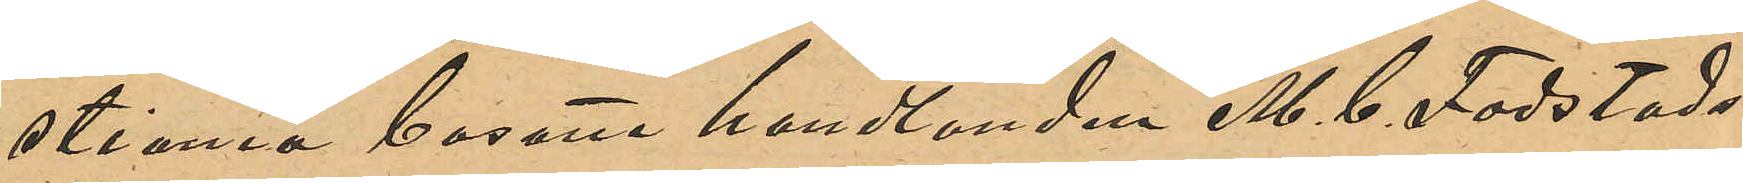stiania bosatte handlanden M. C. Fodstads
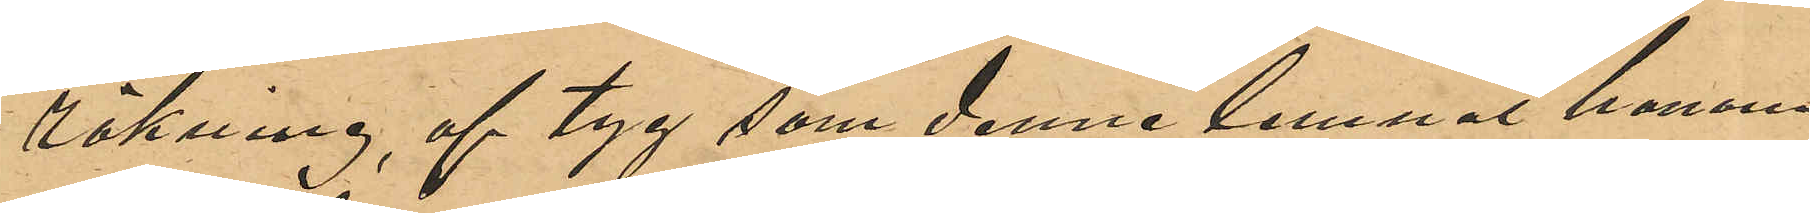räkning, af tyg som denne lemnat honom,
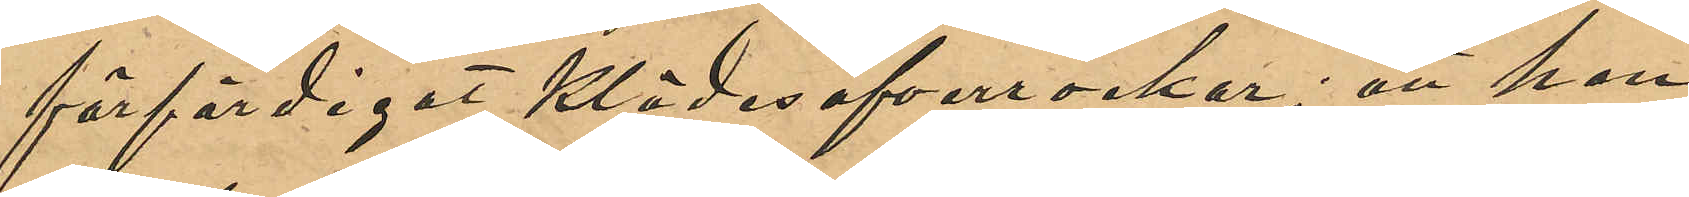förfärdigat klädesöfverrockar; att han
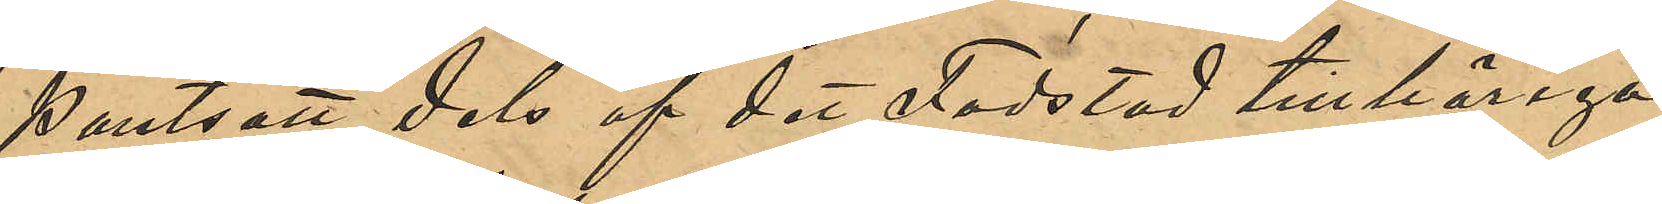pantsatt dels af det Fodstad tillhöriga
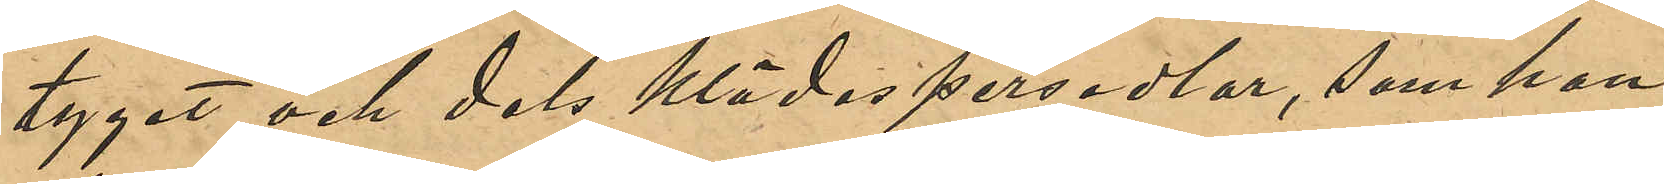tyget och dels klädespersedlar, som han
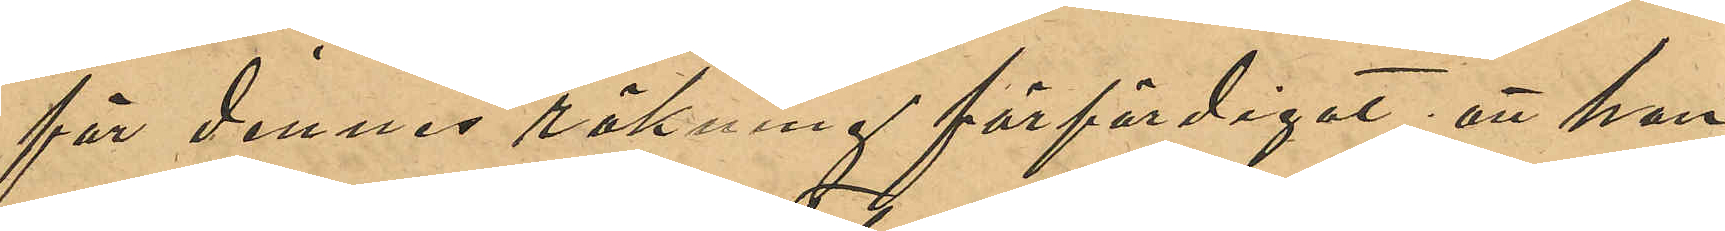för dennes räkning förfärdigat; att han,
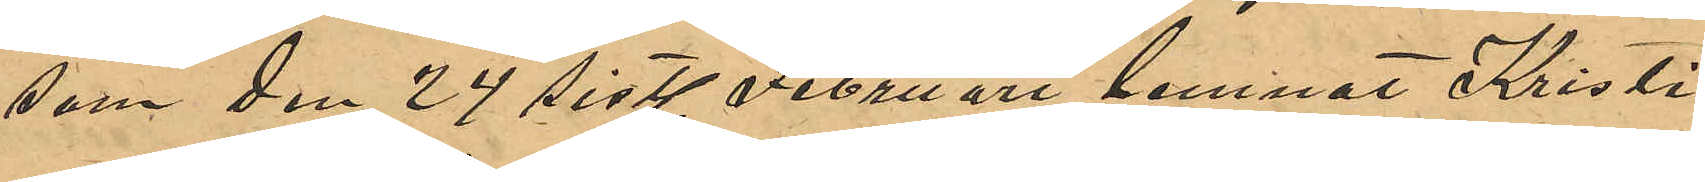som den 24 sist. Februari lemnat Krist¬
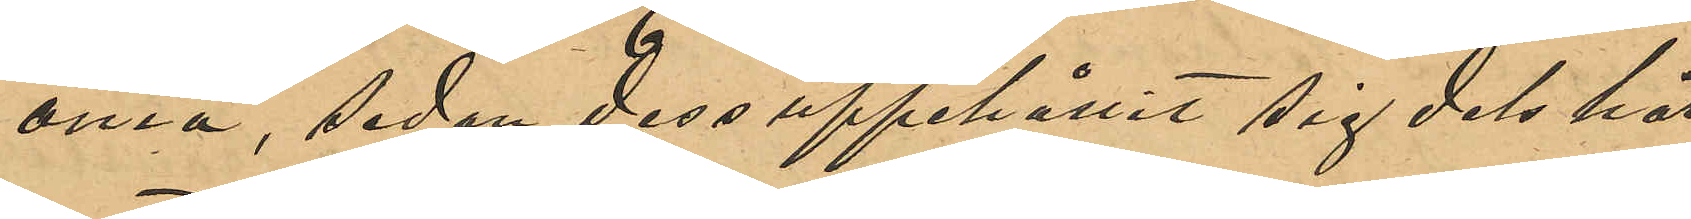ania, sedan dess uppehållit sig, dels här
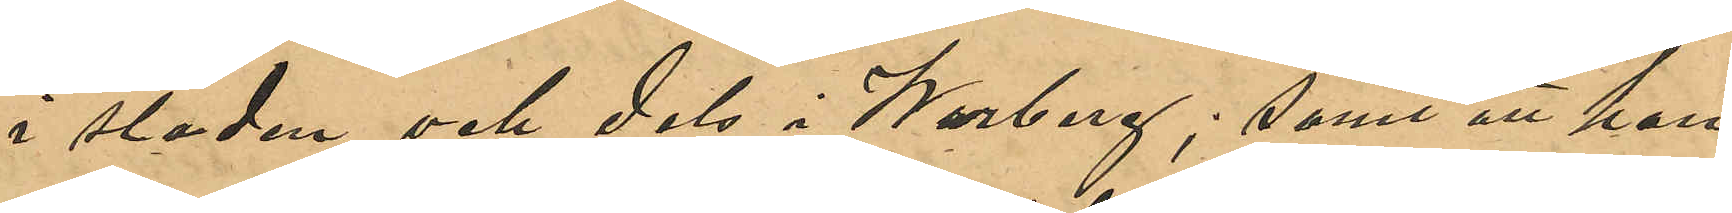i staden och dels i Warberg; samt att han
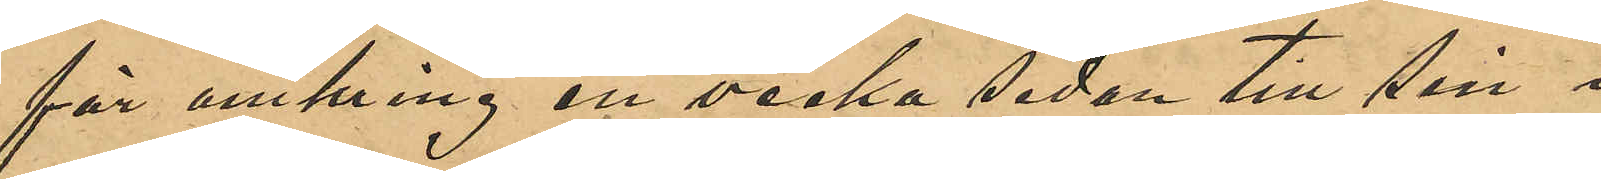för omkring en vecka sedan till sin i
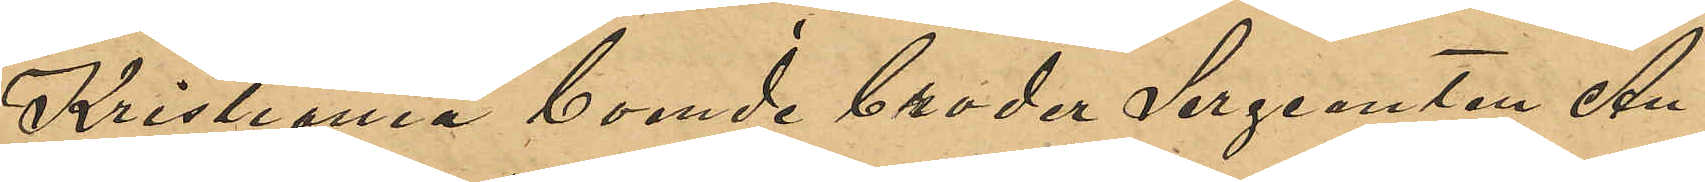Kristiania boende broder Serganten An¬
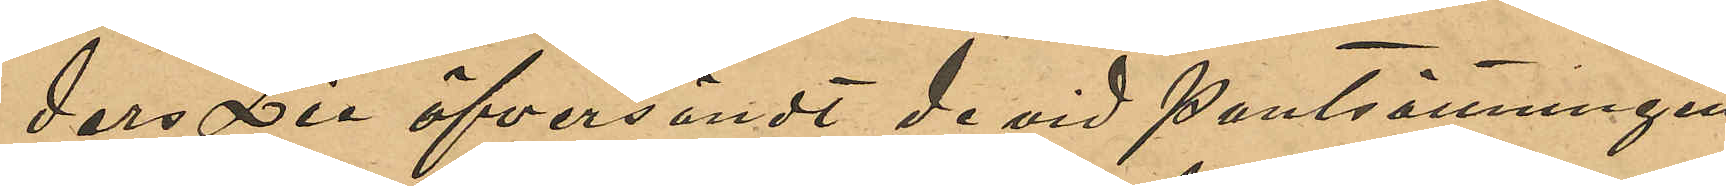ders Lie öfversändt de vid pantsättningen
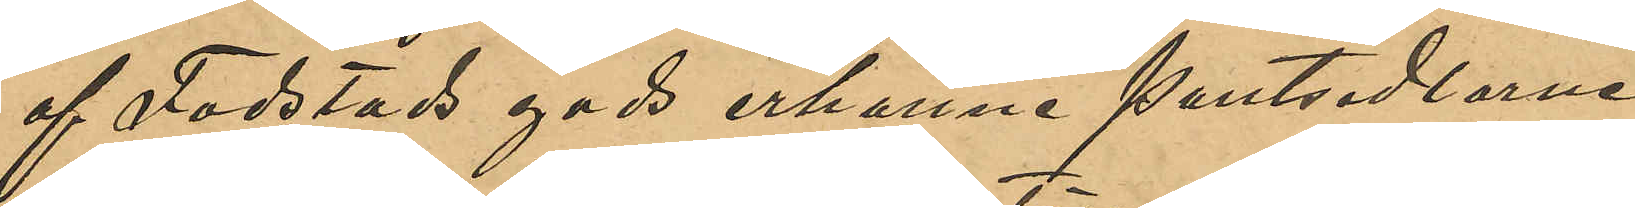af Fodstads gods erhållna Pantsedlarna
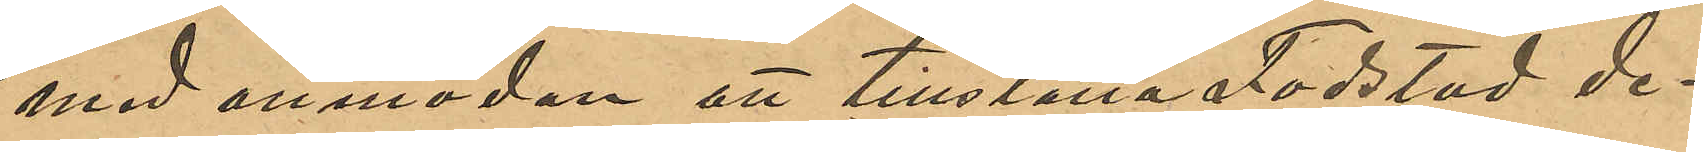med anmodan att tillställa Fodstad de¬
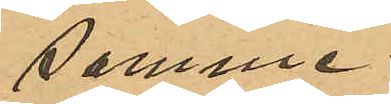samme.
